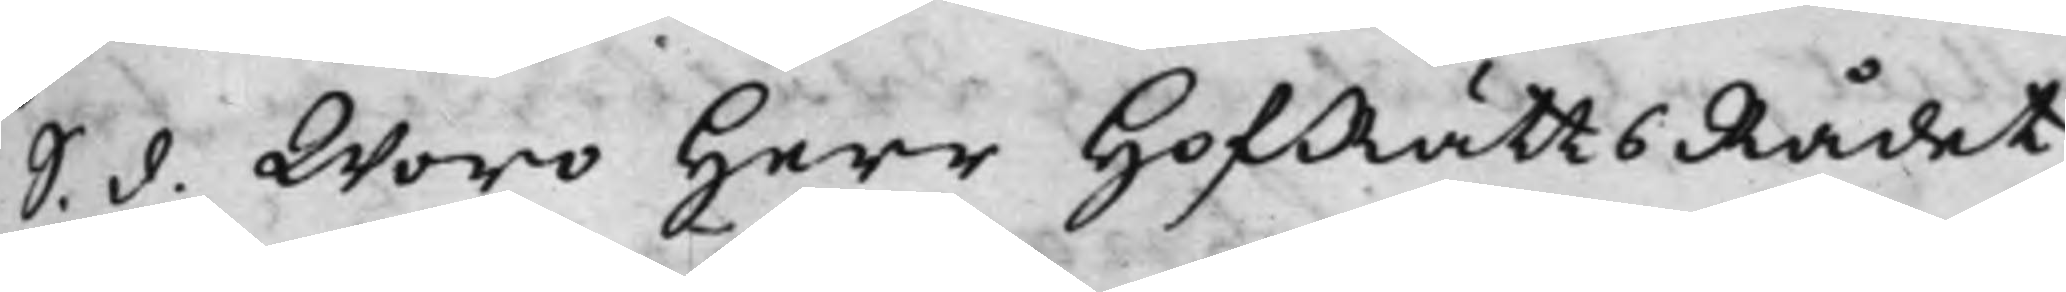S. d. woro Herr HofRättsRådet
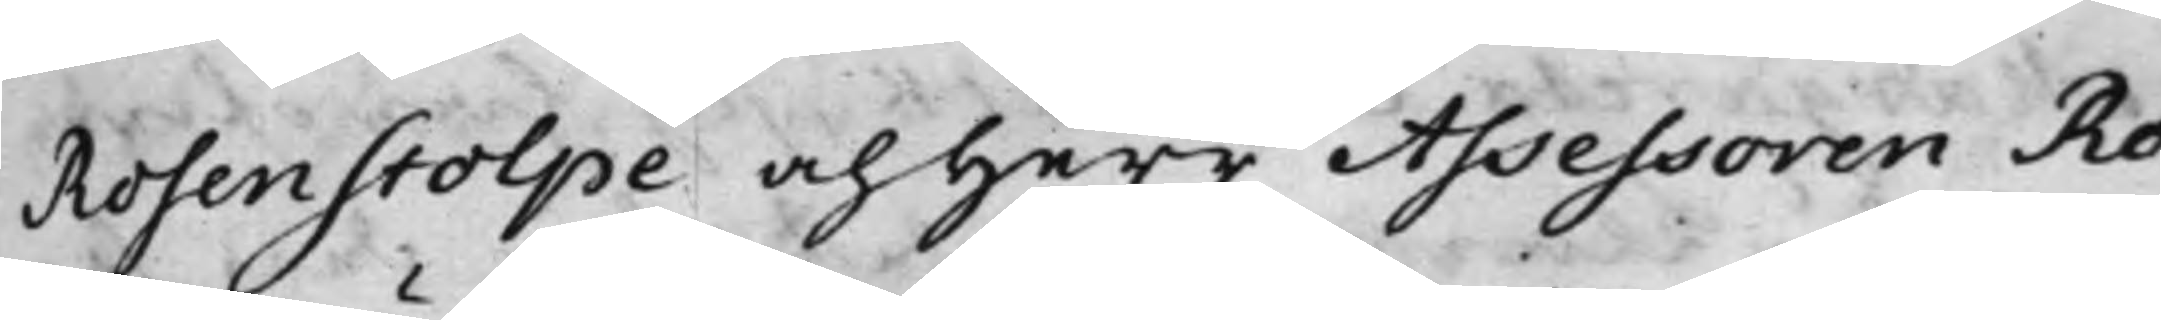Rosenstolpe och Herr Assessoren Ro¬
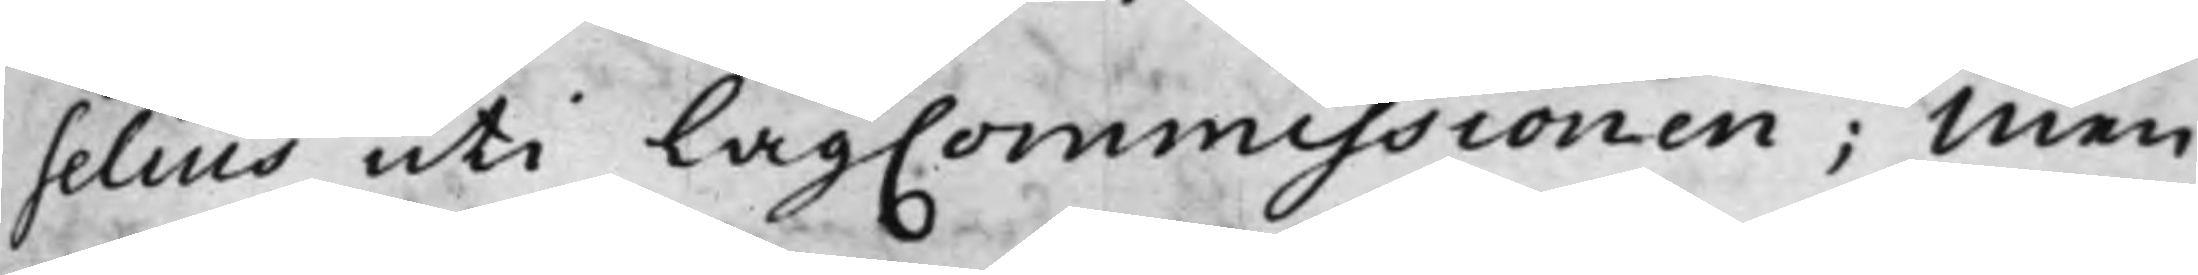selius uti LagCommissionen; Men
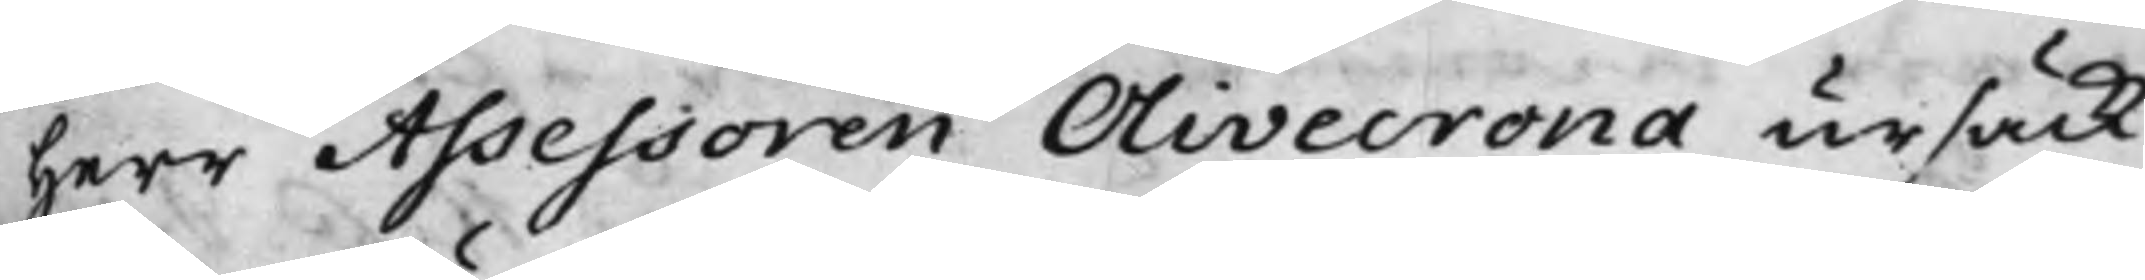Herr Assessoren Olivecrona ursäck¬
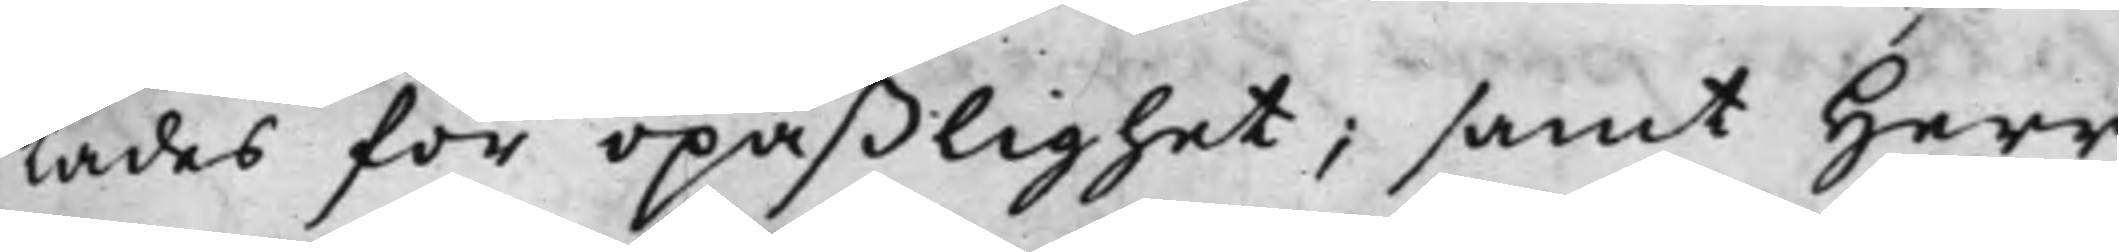tades för opaßlighet; samt Herr
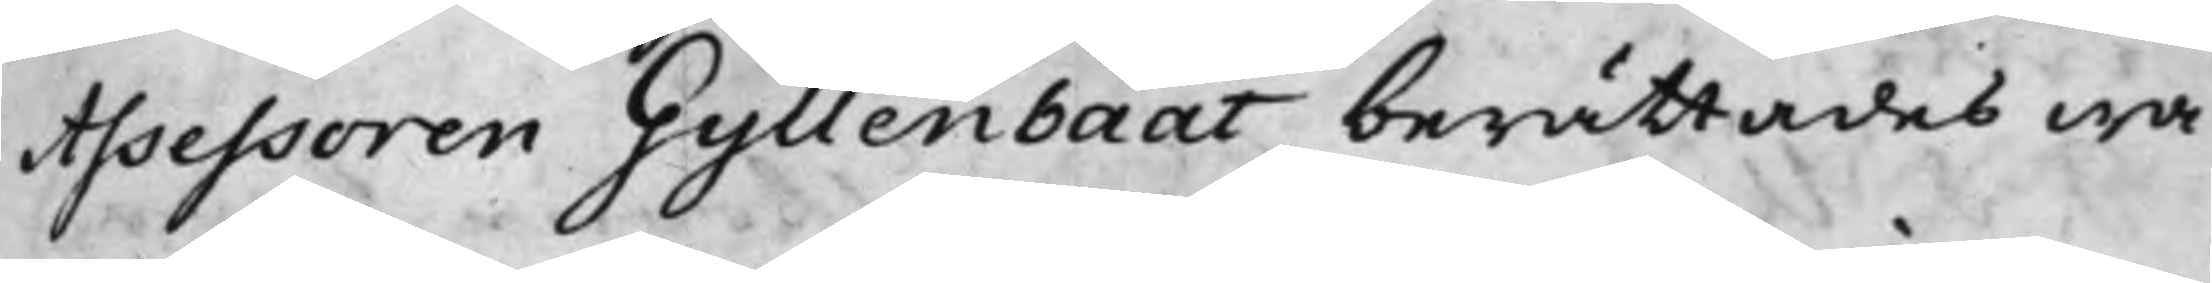Assessoren Gyllenbååt berättades wa¬
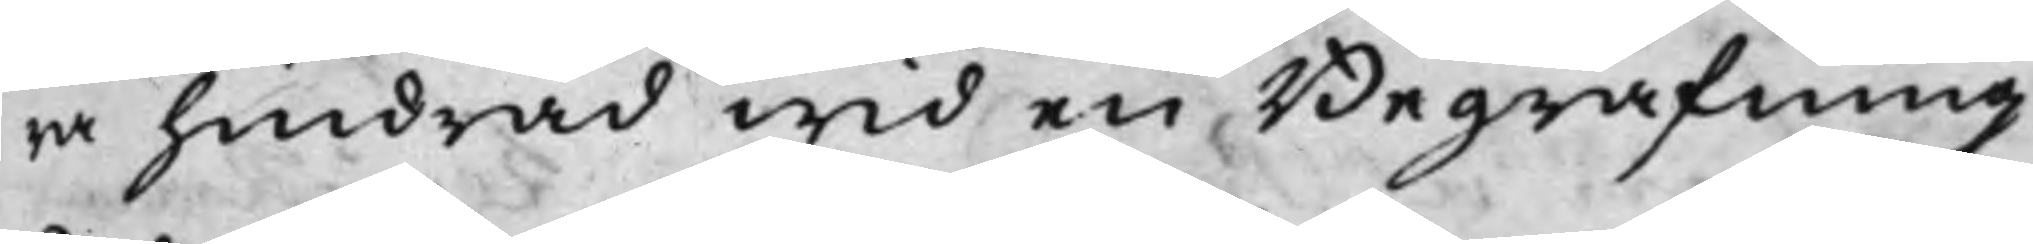ra hindrad wid en Begrafning,
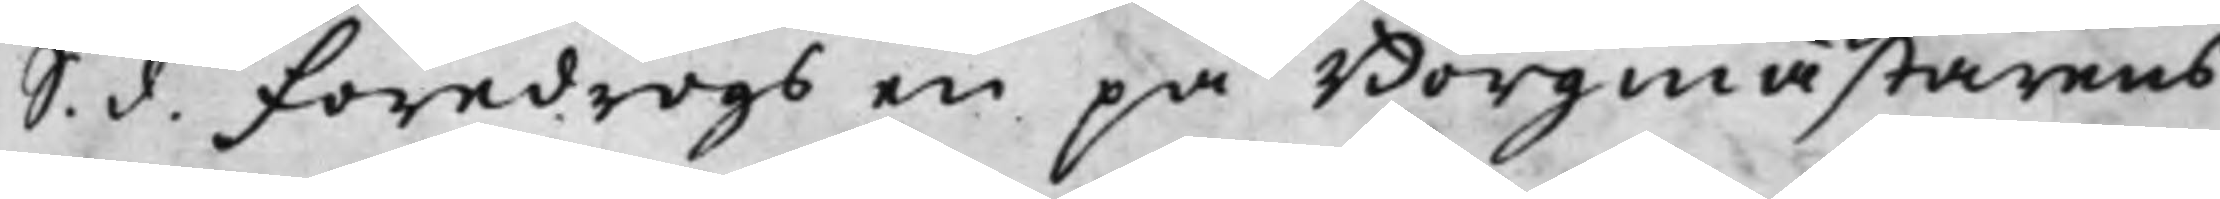S. d. föredrogs en på Borgmästarens
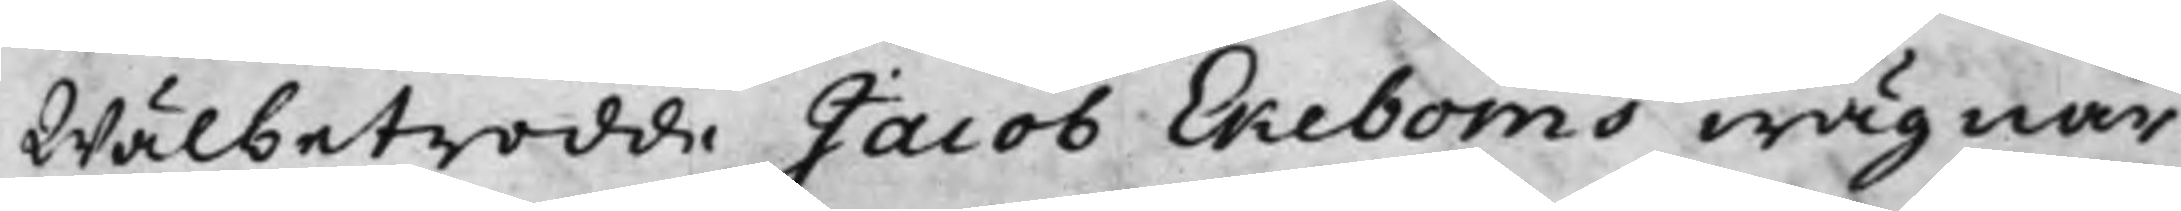Wälbetrodde Jacob Ekeboms wägnar
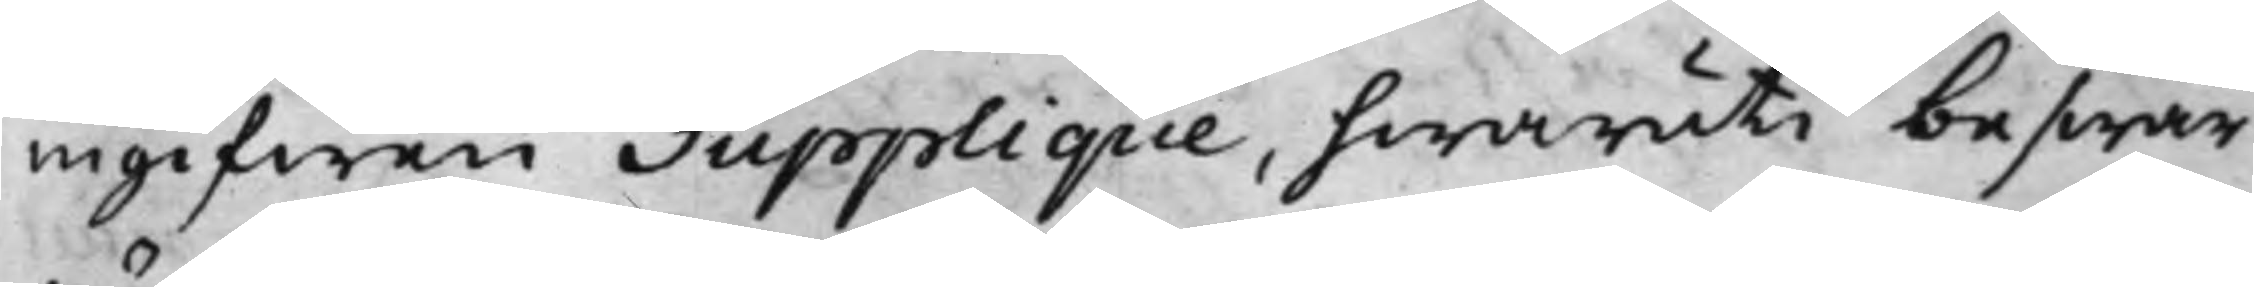ingifwen Supplique, hwaruti beswär
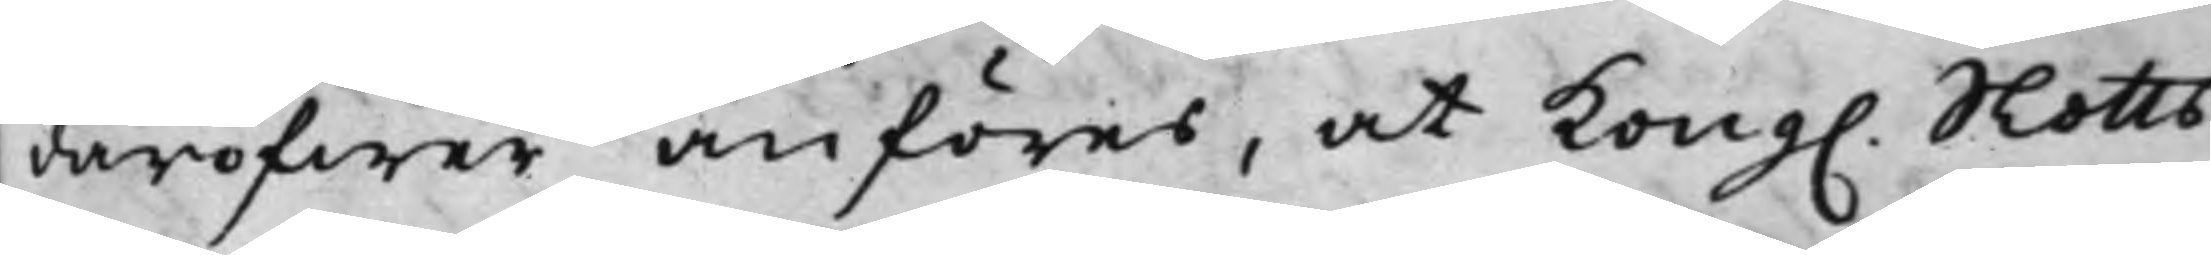däröfwer anföres, at Kong. Slotts¬
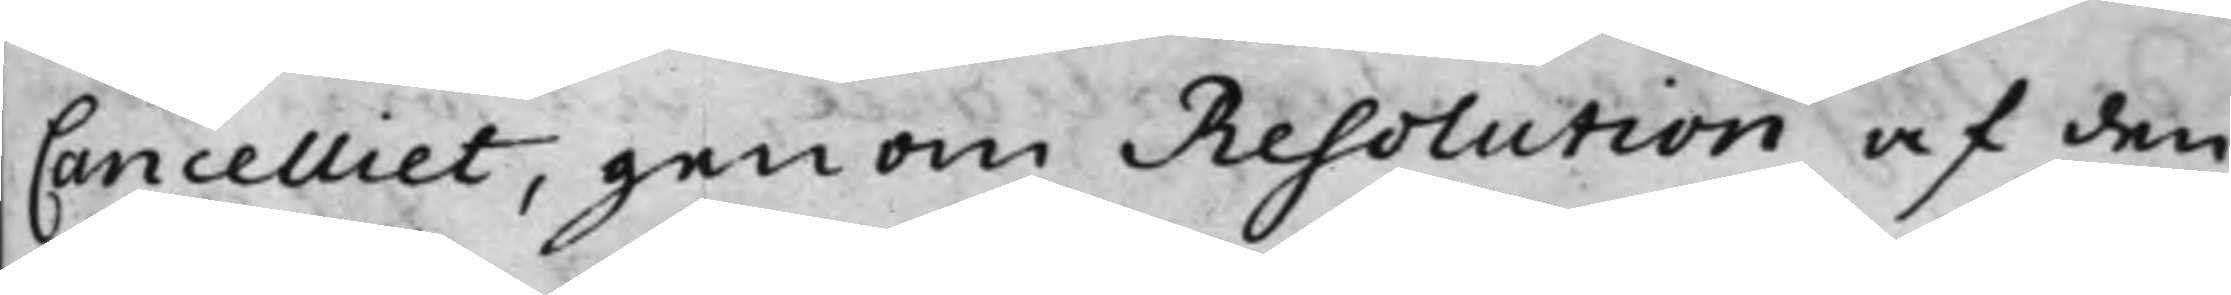Cancelliet, genom Resolution af den
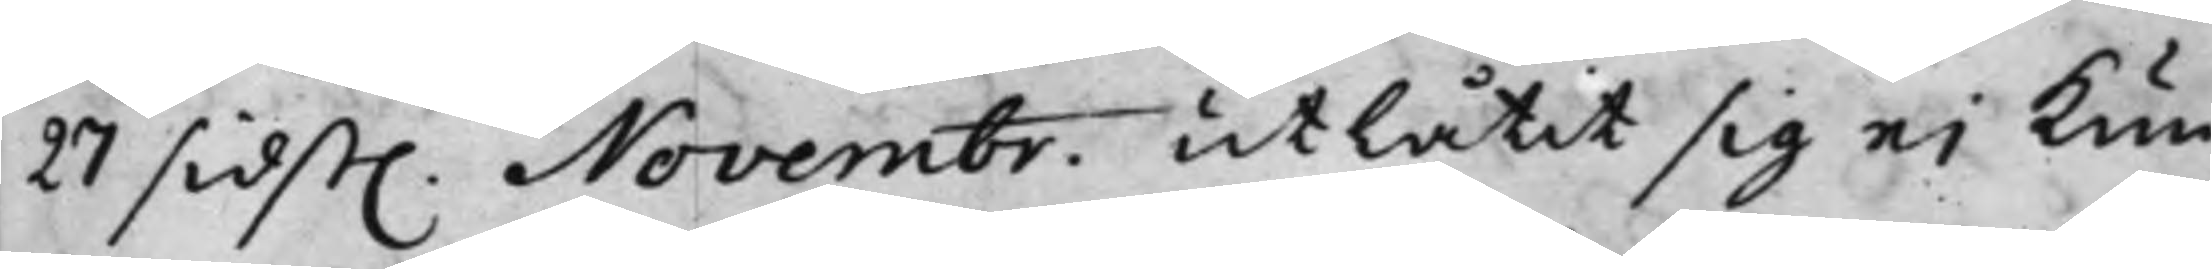27 sidst. Novembr. utlåtit sig ei kun¬
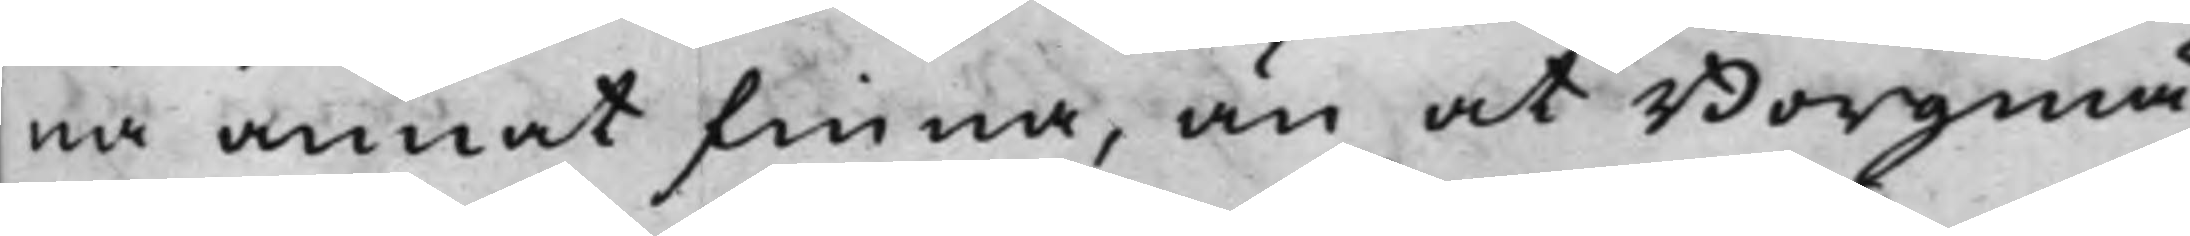na annat finna, än at Borgmä¬
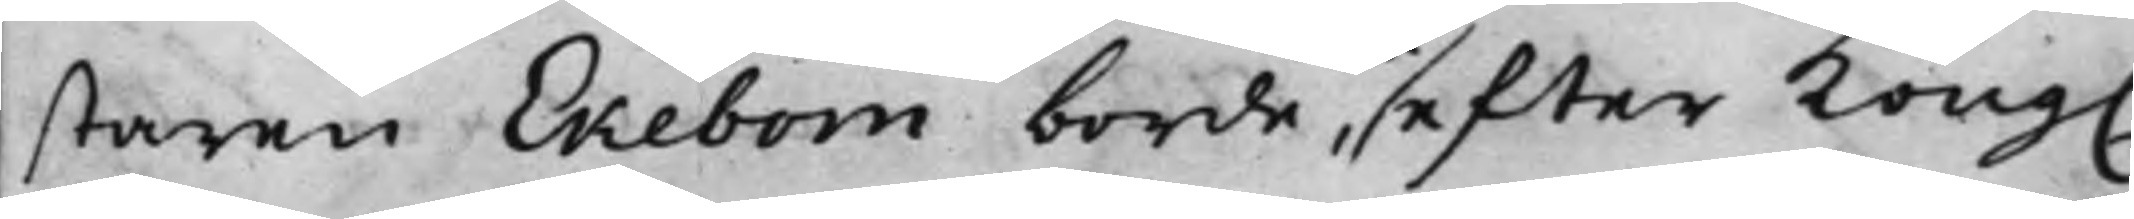staren Ekebom borde, efter Kong.
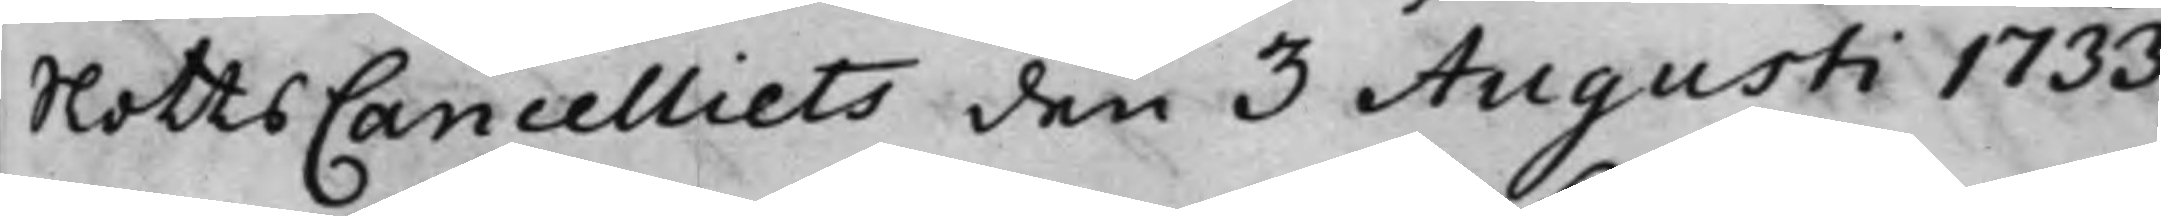SlottsCancelliets den 3 Augusti 1733,
